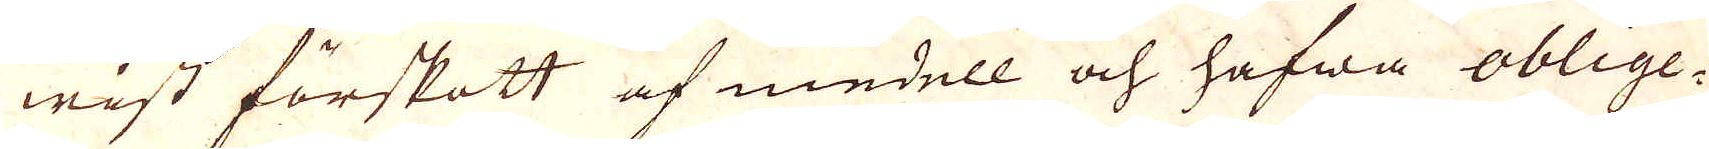wist förskott af medell och hafwa oblige-
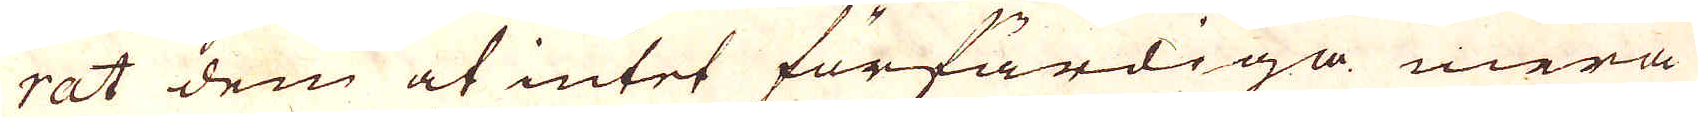rat dem at intet förfärdiga mera
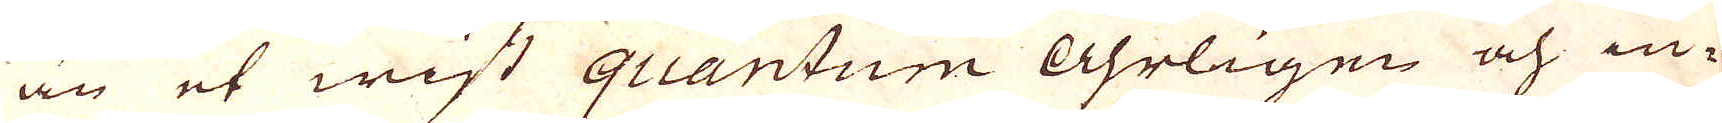än et wist quantum Åhrligen och in-
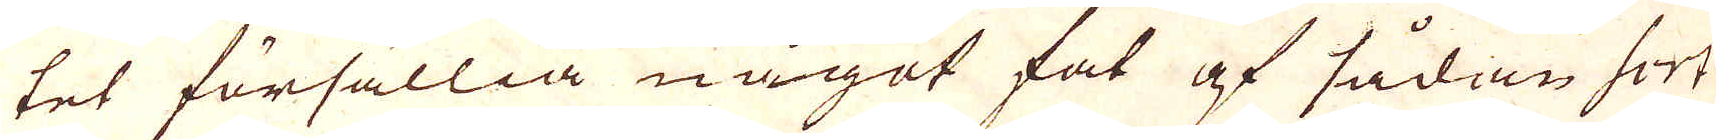tet försällia något fat af sådan sort
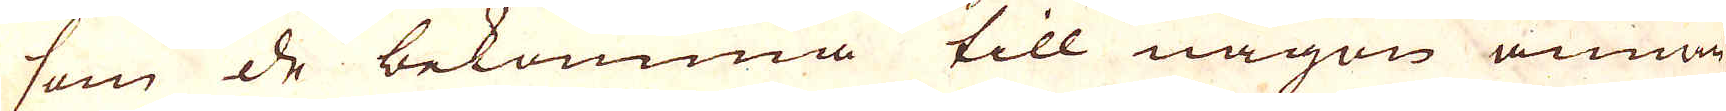som de bekomma till någon annan
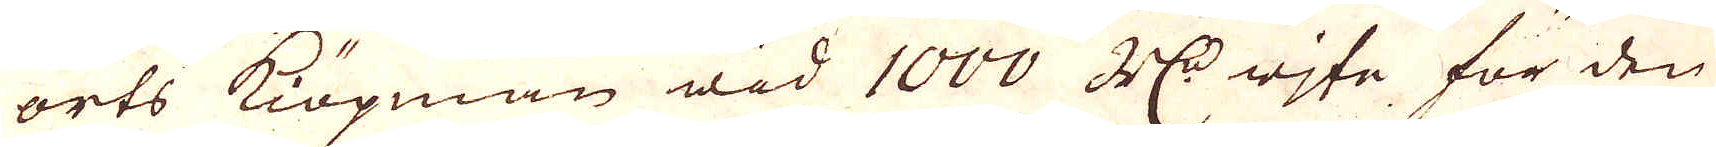orts Kiöpman wid 1000 R:dr wite för den
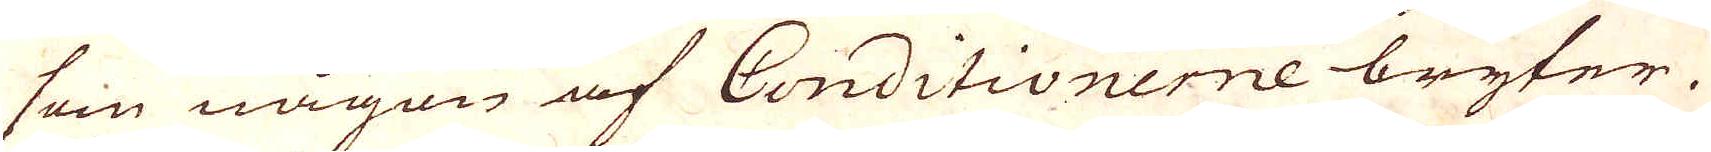som någon af Conditionerne bryter.
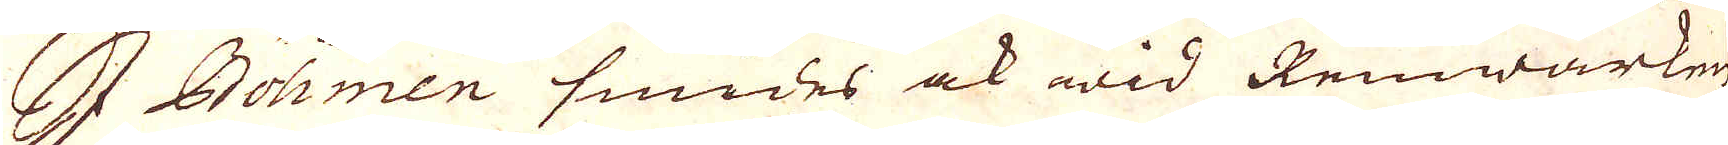I Böhmen smides ock wid Rennwärken
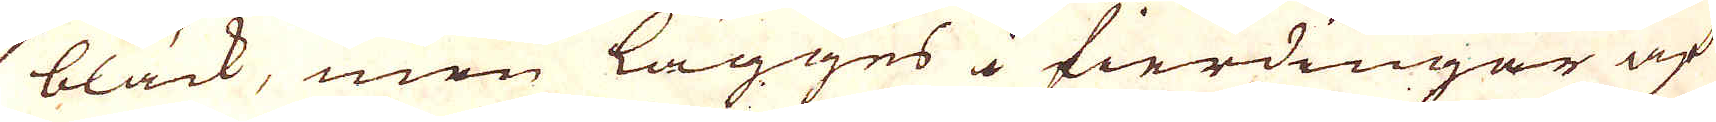bläck, men lägges i fierdingar af
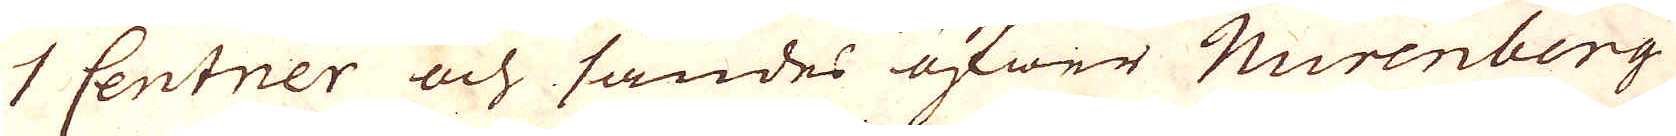1 Centner och sändes öfwer Nurenberg
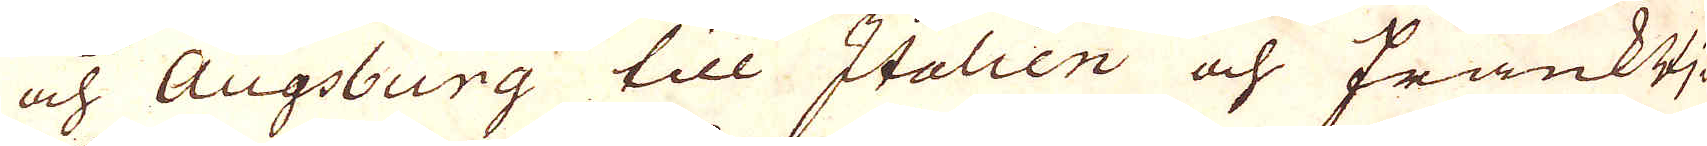och Augsburg till Italien och FrankRi-
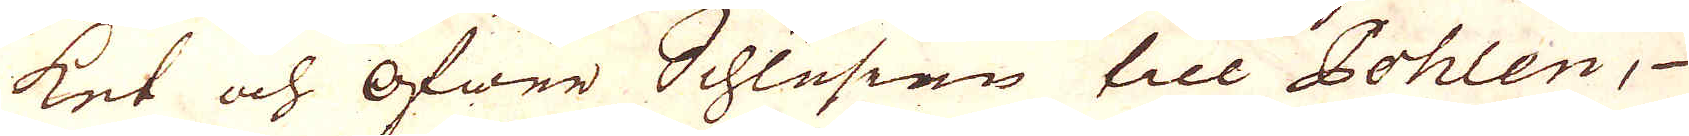ket och Öfwer Schlesien till Pohlen,
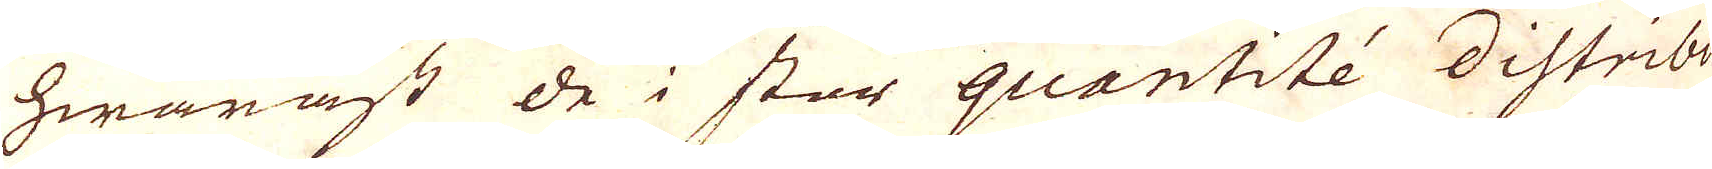hwarast de i stor quantitée distribu-
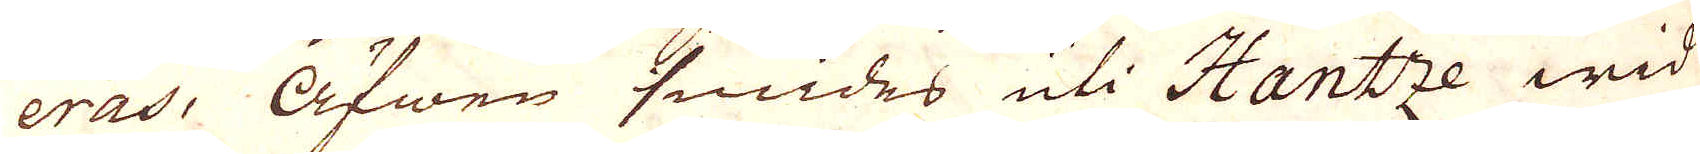eras. Äfwen smides uti Hantze wid
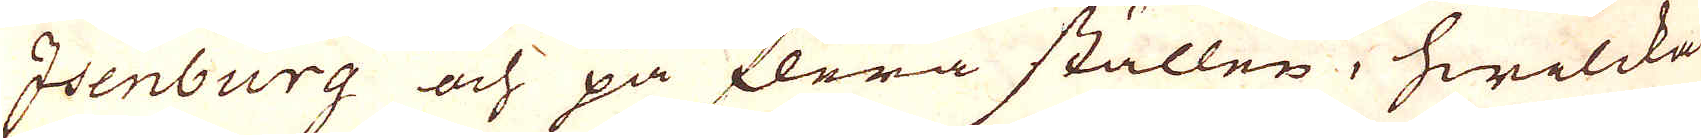Isenburg och på flera ställen, hwilcka
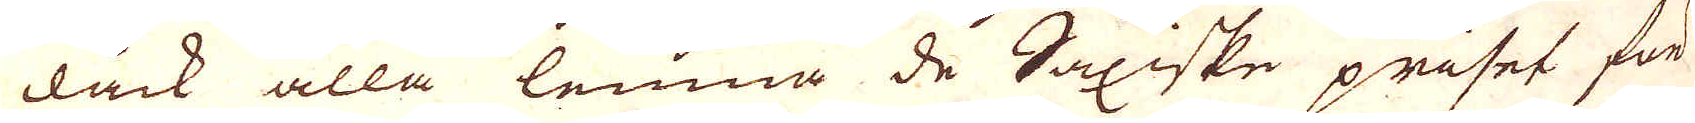dåck alla lemna de Saxiske priset för
